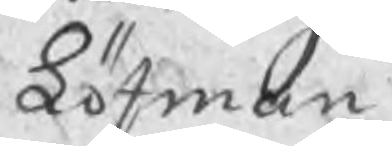Löfman
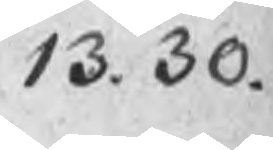13. 30.
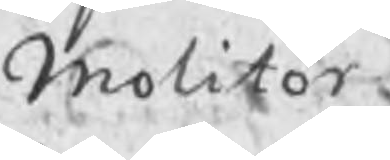Molitor
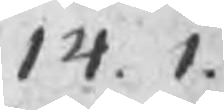14. 1.
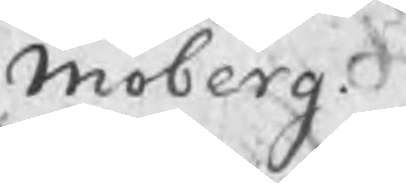Moberg
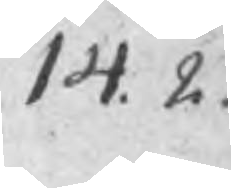14. 2.
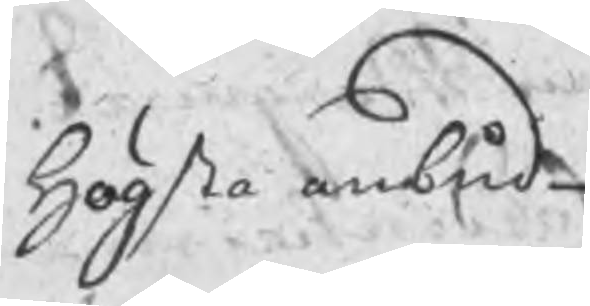Högsta anbud
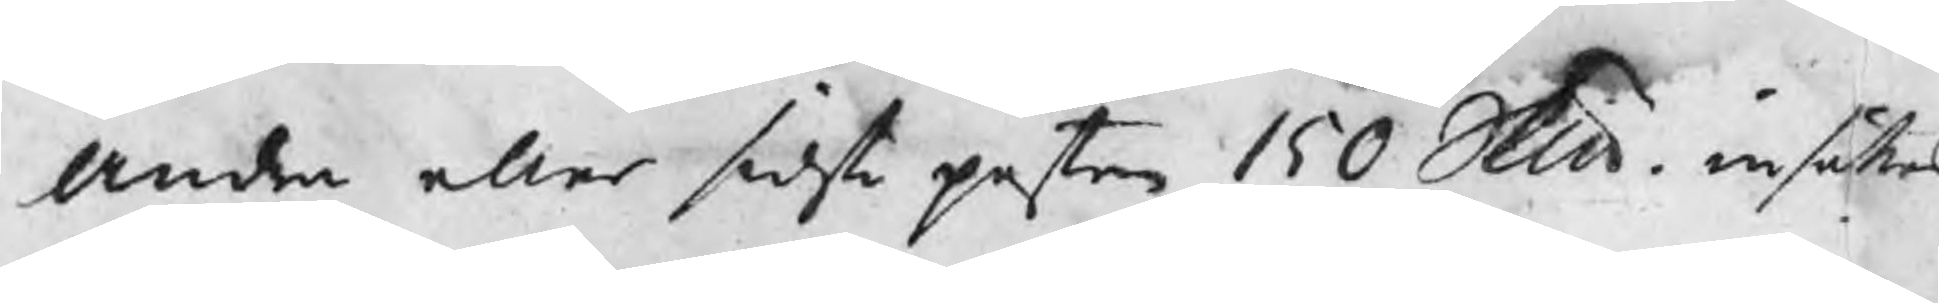Andra eller sidsta posten 150 Skp insättes
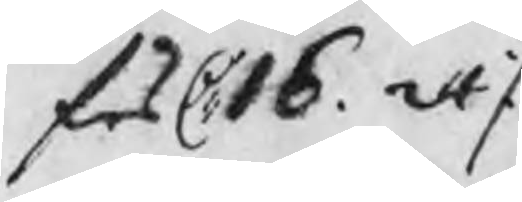för 16. 24 ./.
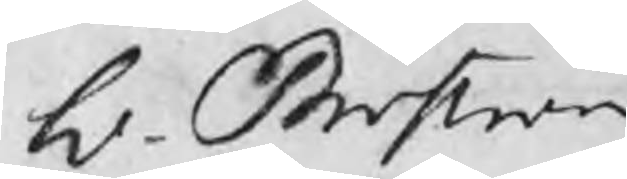L. Broström
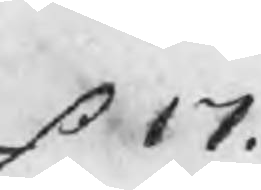s 17.
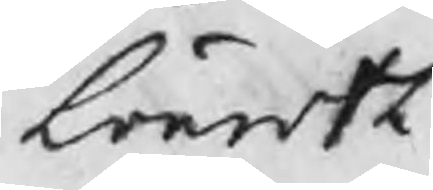Lönroth
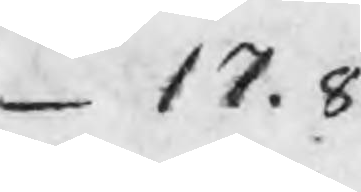17.8
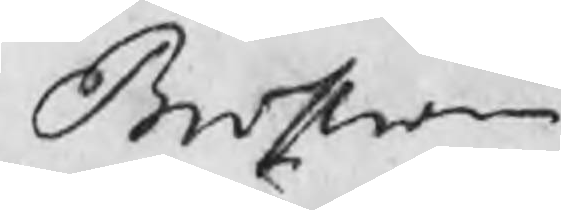Broström
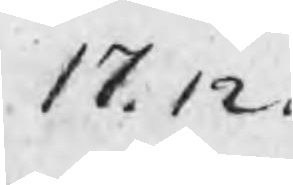17.12
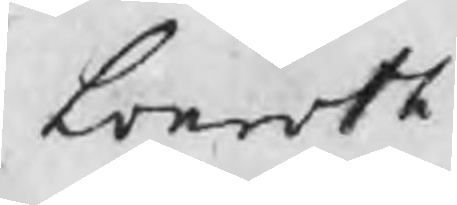Lönroth
